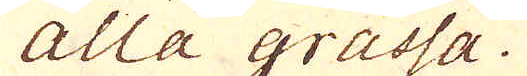Alla grassa.
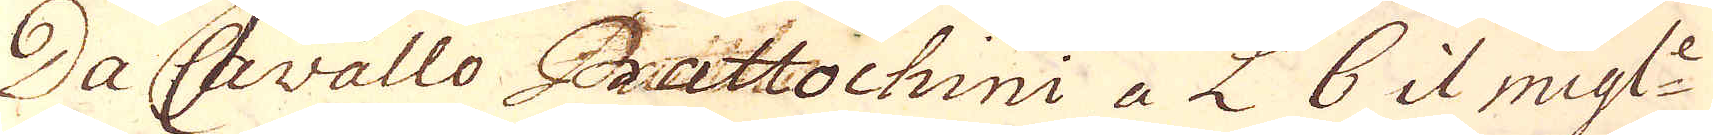Da Cavallo Battochini a L 6 il migl:e
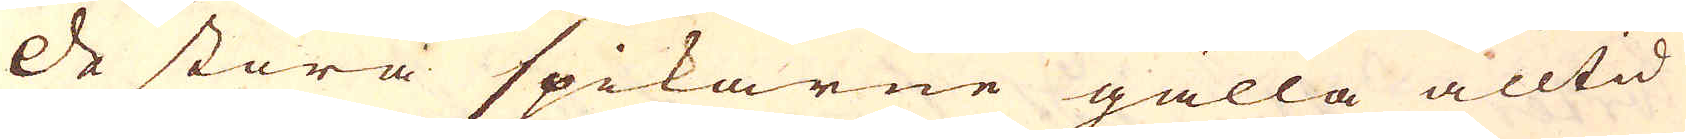De stora spikarne gälla alltid
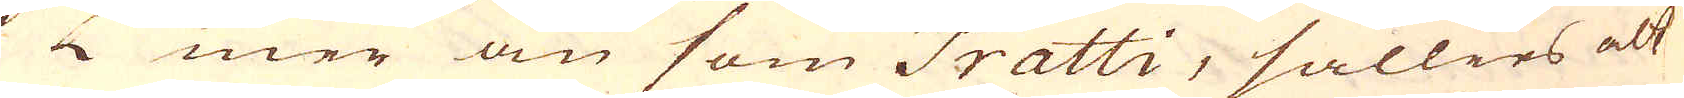1 L mer än som Tratti, sällies alt
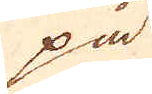på
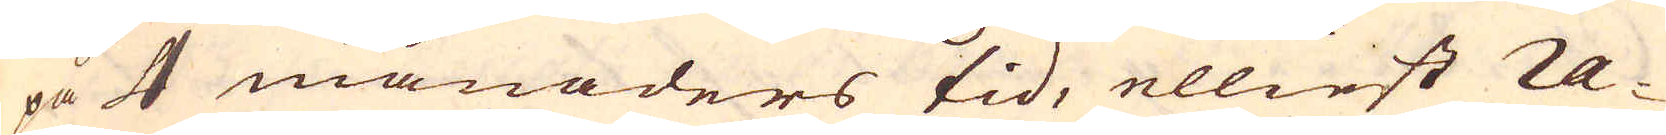på 4 månaders tid, elliest ra-
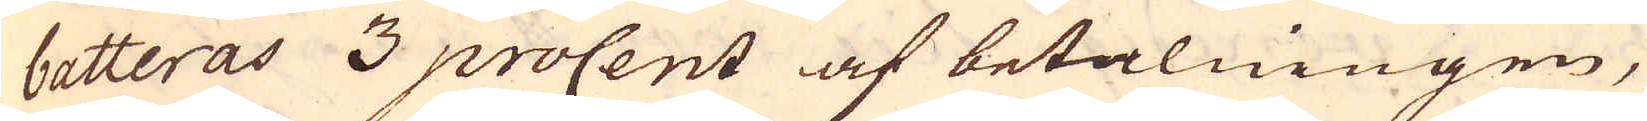batteras 3 procent af betalningen,
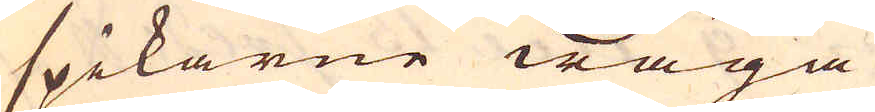spikarne wäga
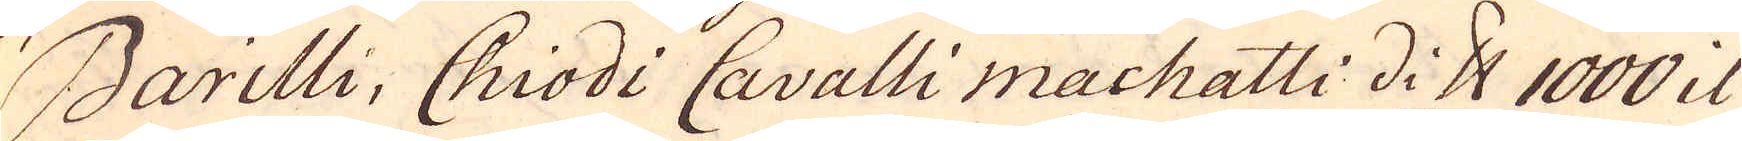Barilli, Chiodi Cavalli machatti di skålpund 1000 il
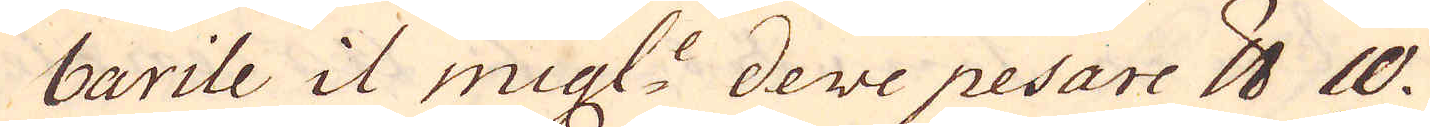barile il migl:e deve pesare skålpund 10.
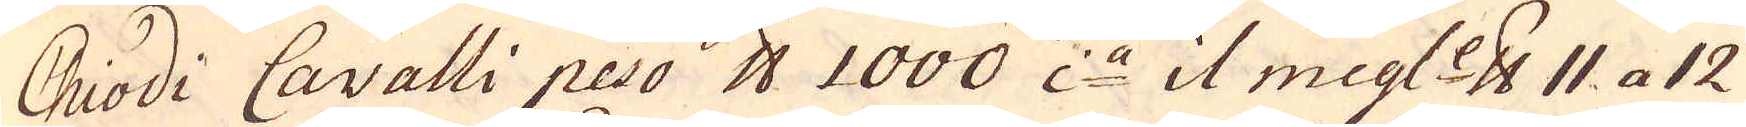Chiodi Cavalli peso skålpund 1000 i:a il migl:e skålpund 11 a 12
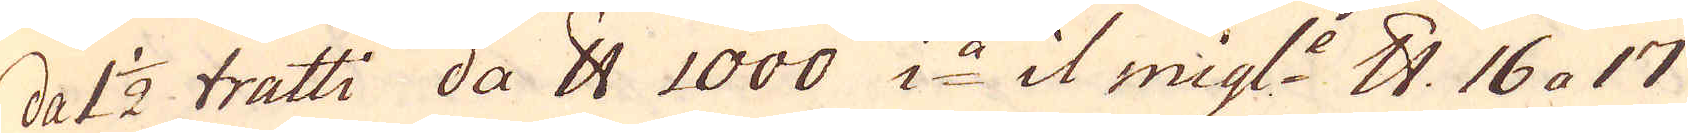da 1 1/2 tratti da skålpund 1000 i:a il migl:e skålpund 16 a 17
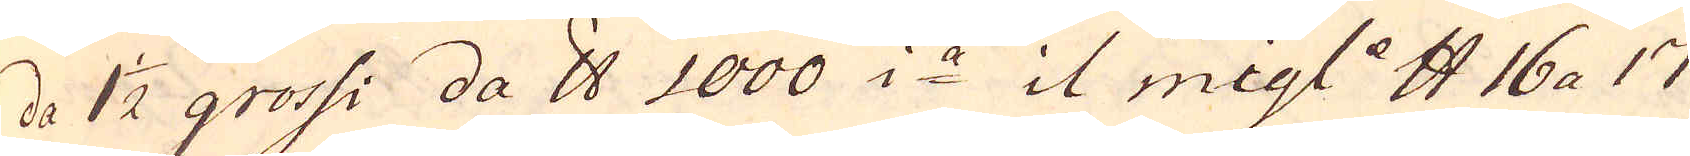da 1 1/2 grossi da skålpund 1000 i:a il migl:e skålpund 16 a 17
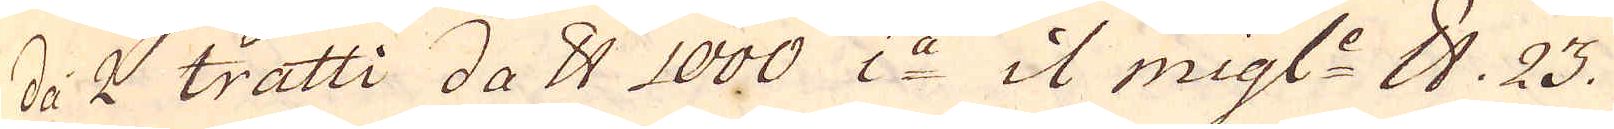da 2 tratti da skålpund 1000 i:a il migl:e skålpund 23.
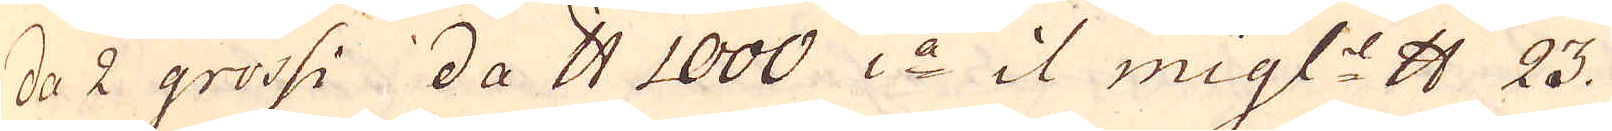da 2 grossi da skålpund 1000 i:a il migl:e skålpund 23.
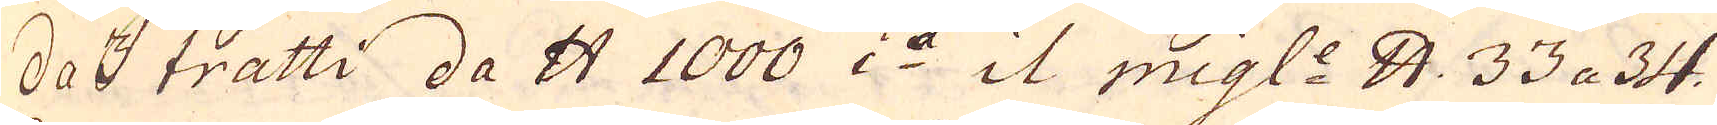da 3 tratti da skålpund 1000 i:a it migl:e skålpund, 33 a 34.
